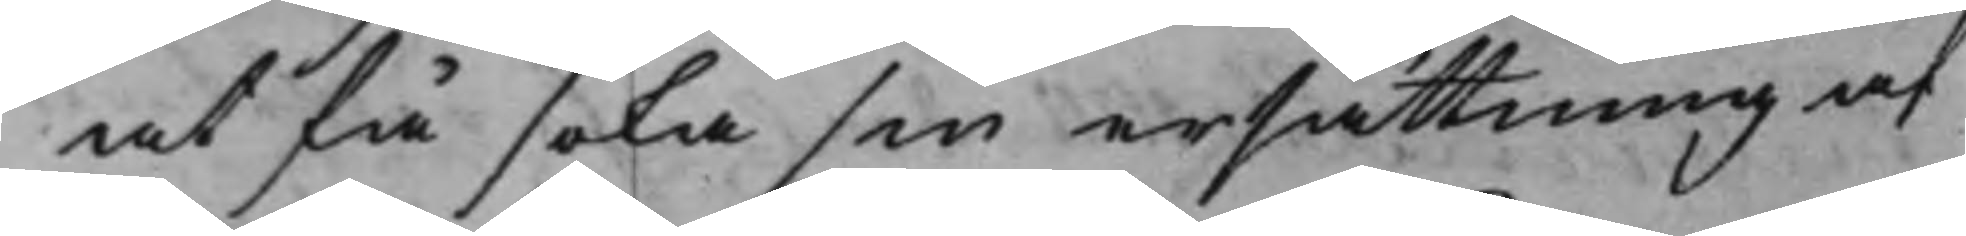at få söka sin ersättning af
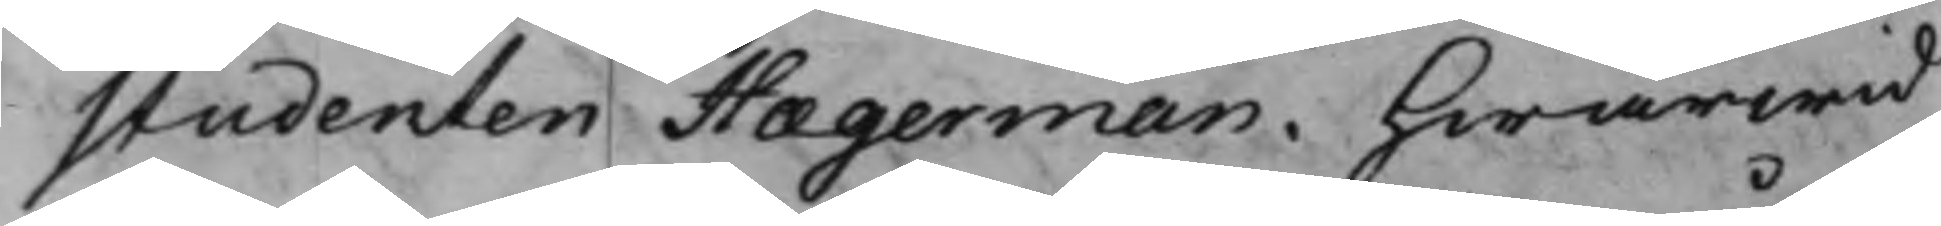studenten Hægerman. Hwarwid
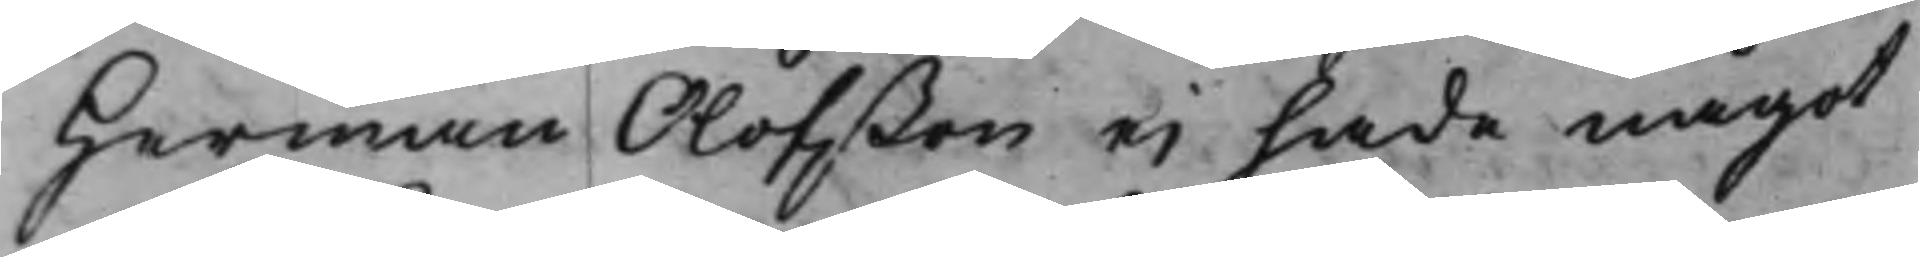Herman Olofßon ei hade något
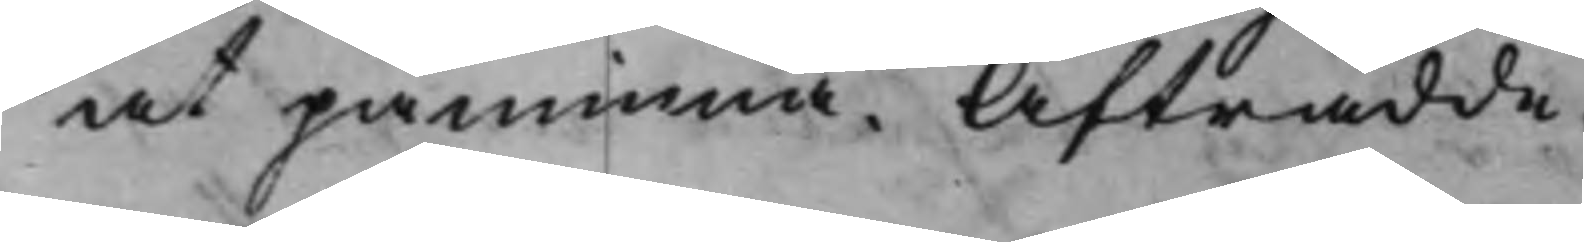at påminna. Afträdde.
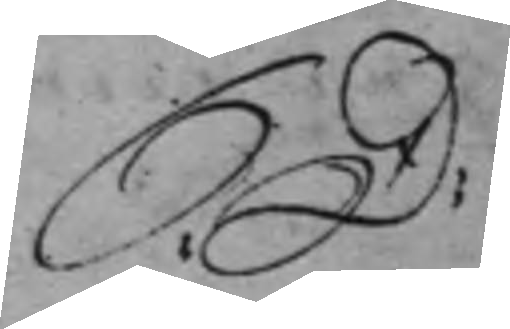S: D: 
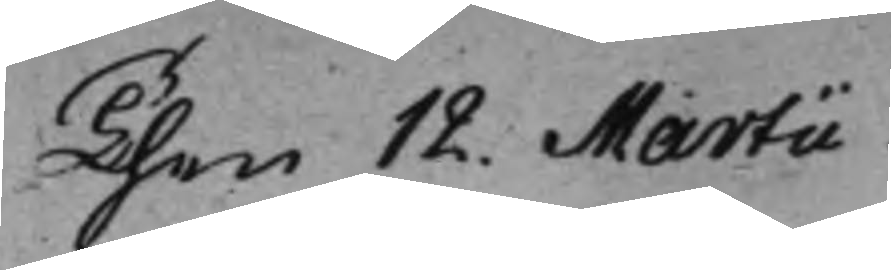Then 12. Martii.
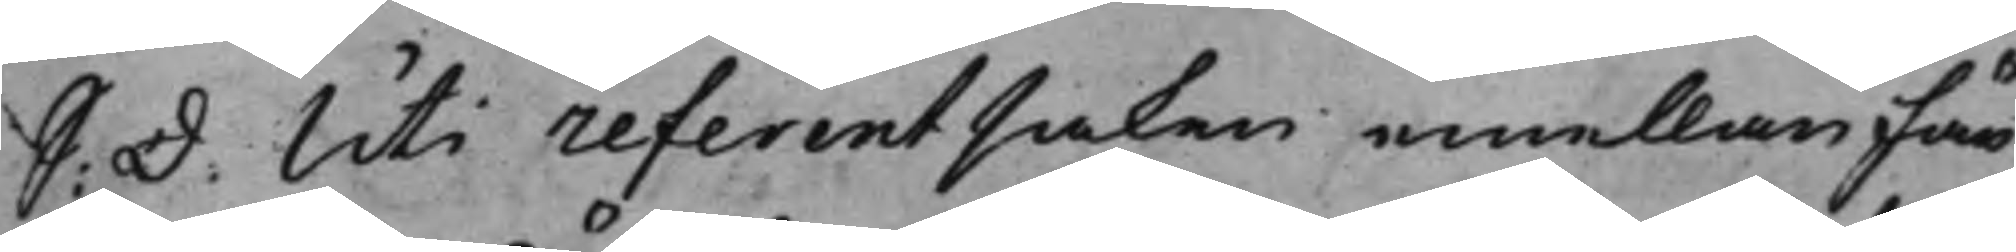S: D: Uti referentsaken emellan Fän¬
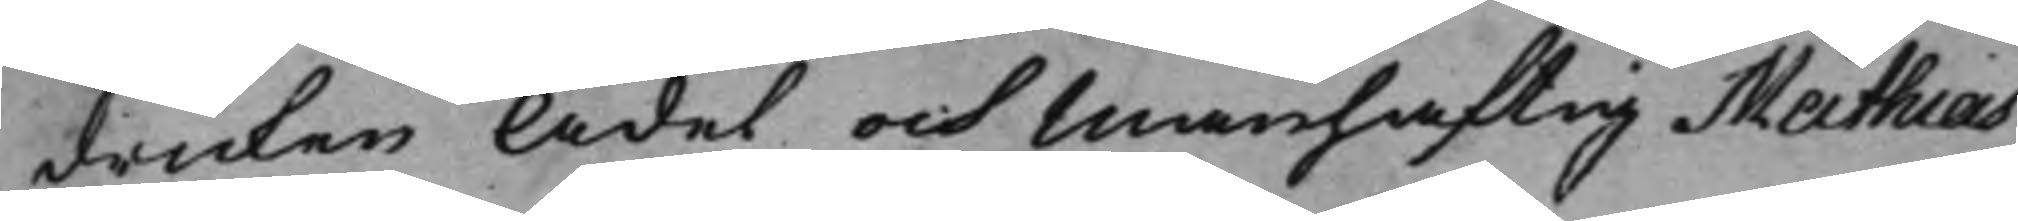dricken Ädel och Manhaftig Mathias
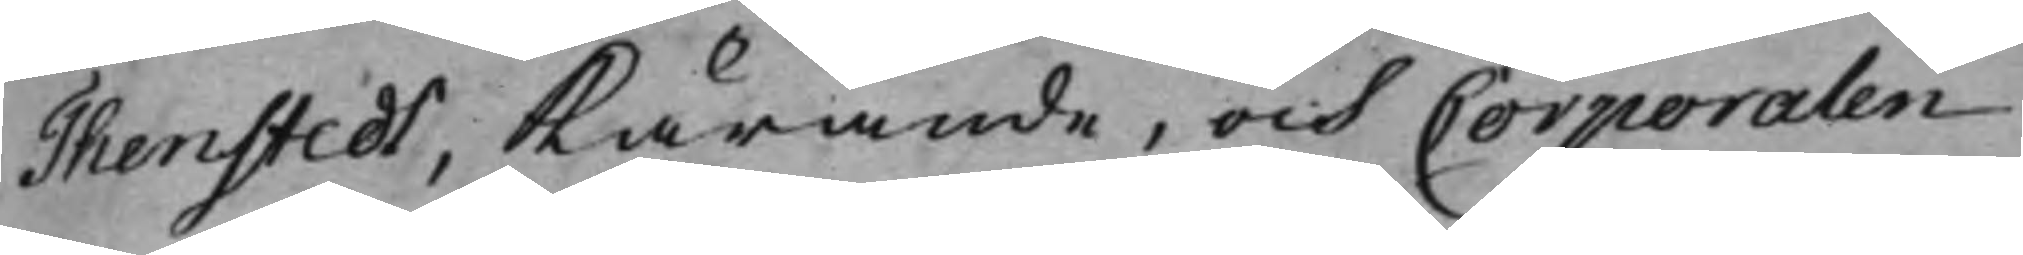Thenstedt, Kärande, och Corporalen
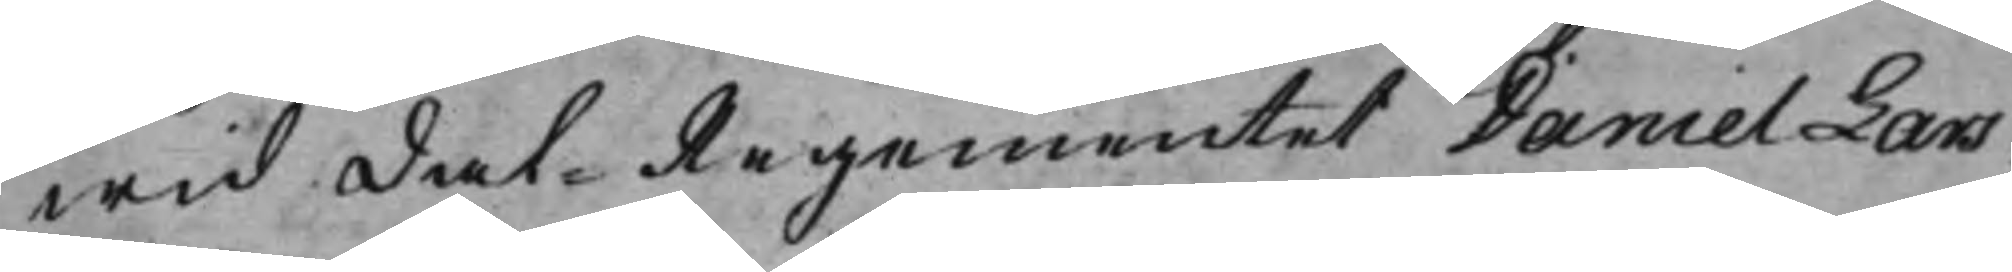wid Dal Regementet Daniel Lars¬
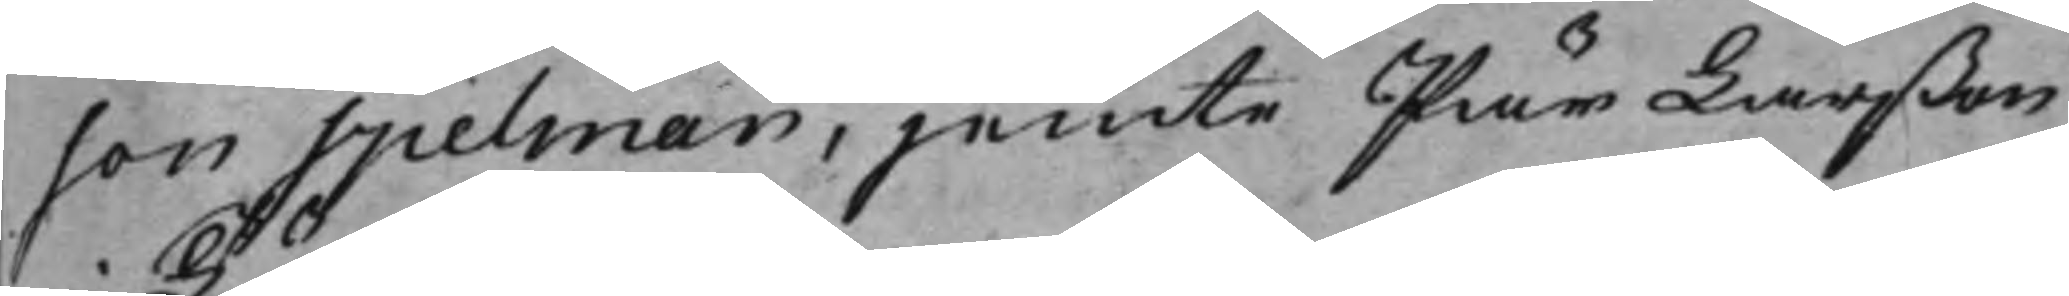son Spelman, jemte Pär Larßon
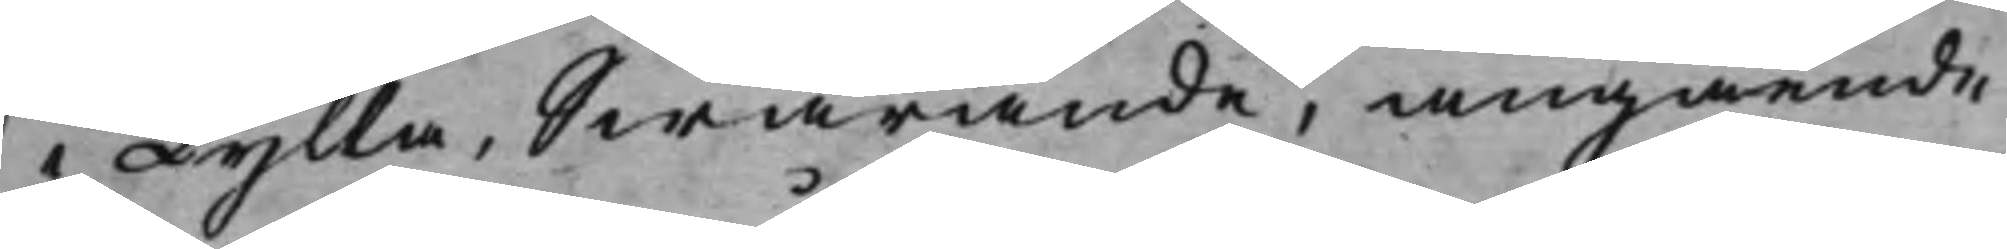i Tylla, Swarande, angående
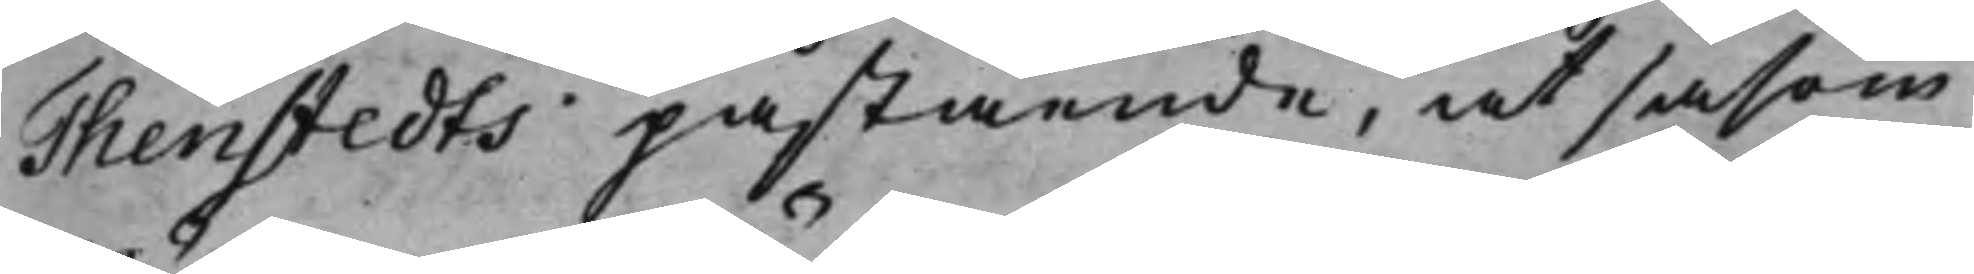Thenstedts påstående, at såsom
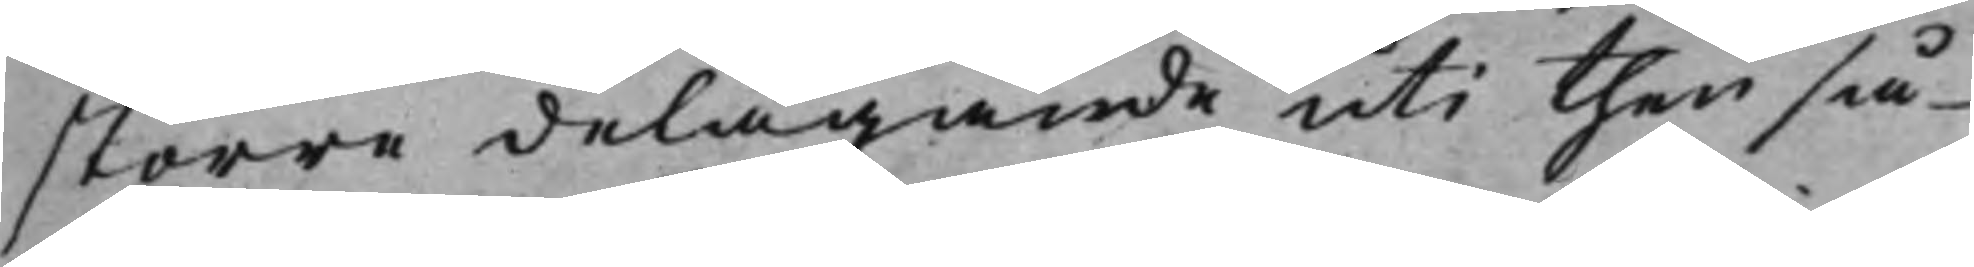större delägande uti then så
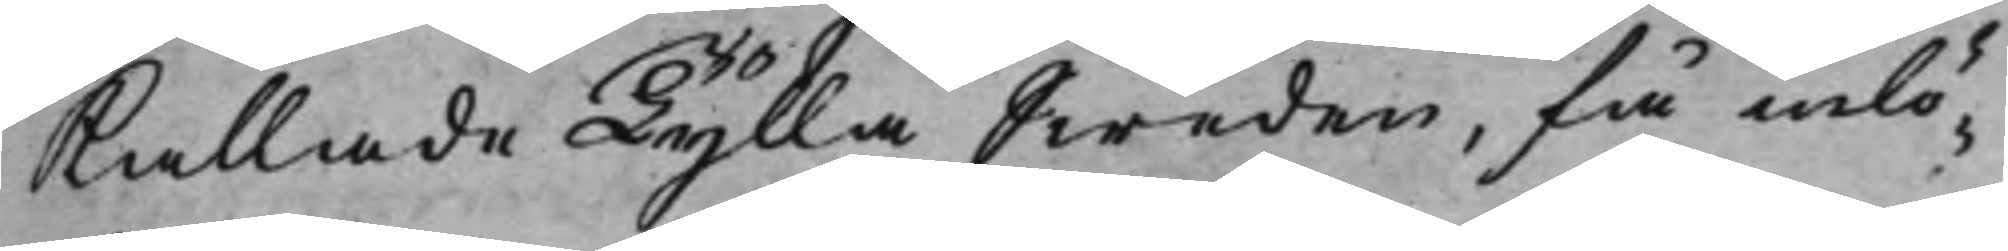Kallade Tylla Sweden, få inlö¬
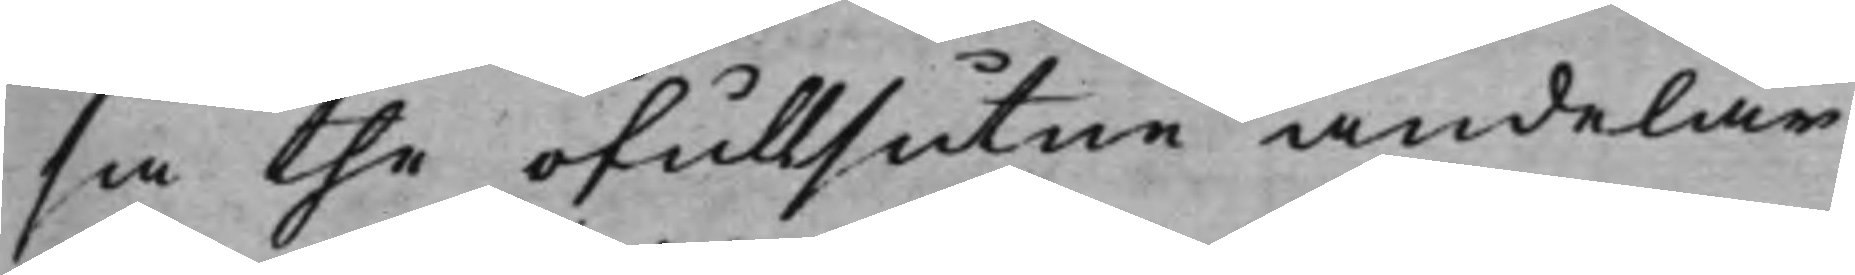sa the ofullsutne andelar
